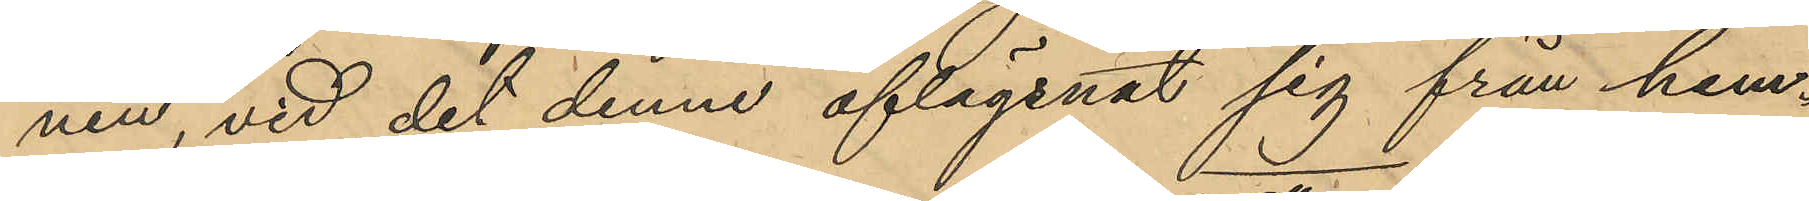nen, vid det denne aflägsnat sig från hem¬
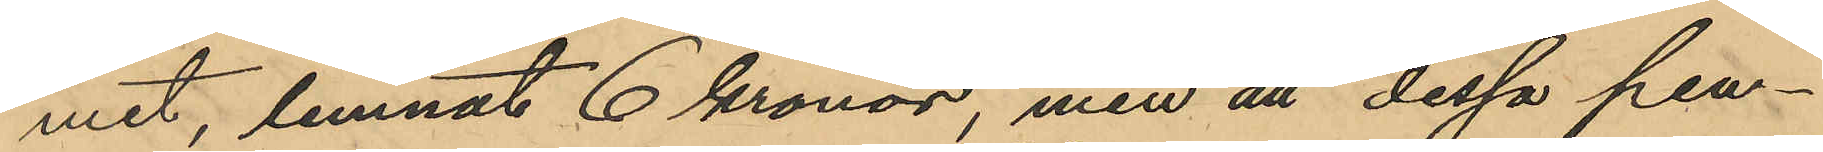met, lemnat 6 kronor, men att dessa pen¬
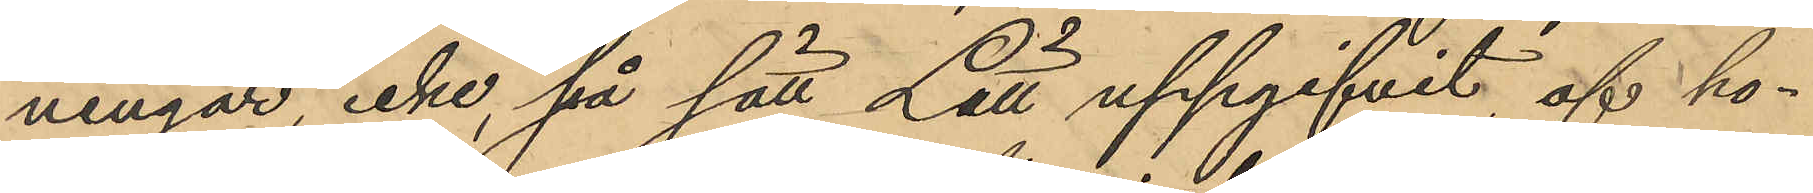ningar, icke, på sätt Lätt uppgifvit af ho¬
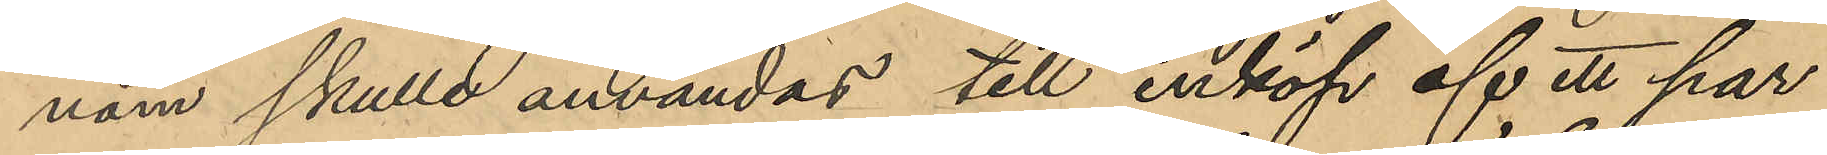nom skulle användas till inköp af ett par
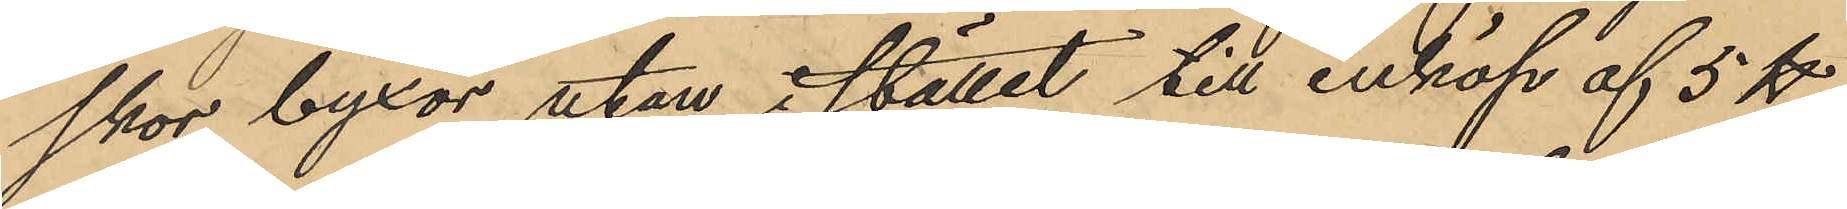skor byxor utan i stället till inköp af 5 ℔
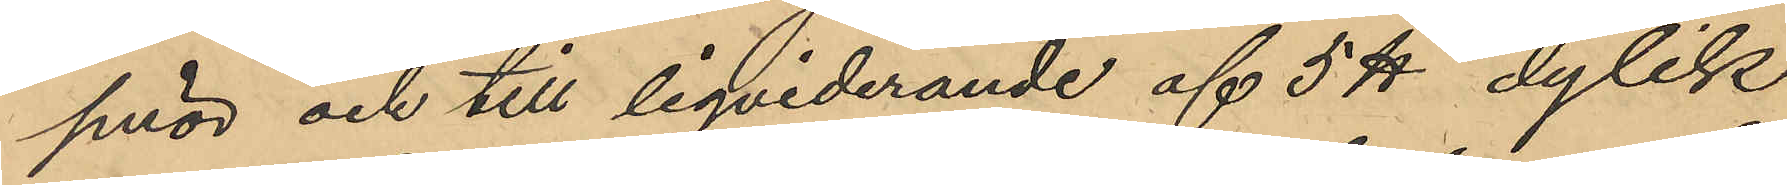smör och till liqviderande af 5 ℔ dylik
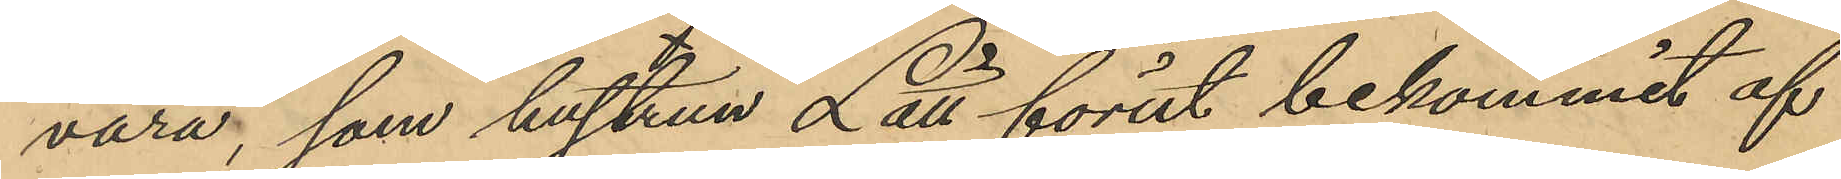vara, som hustrun Lätt förut bekommit af
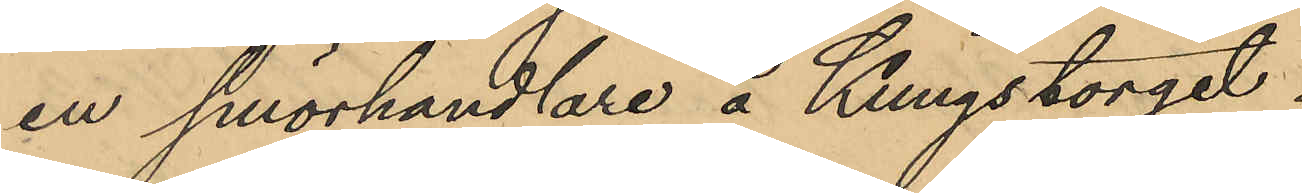en smörhandlare å Kungstorget.
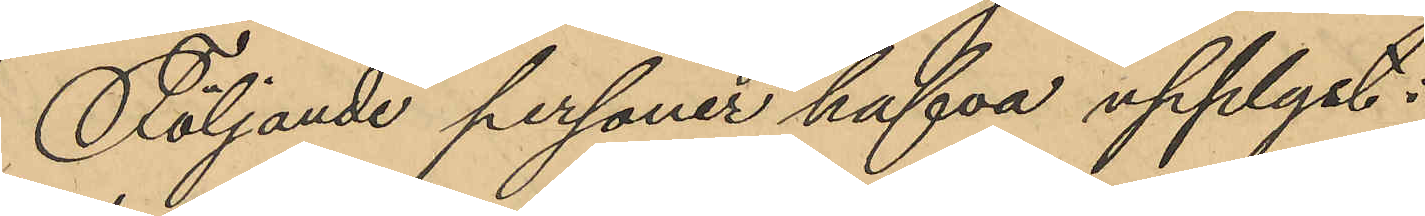Följande personer hafva upplyst:
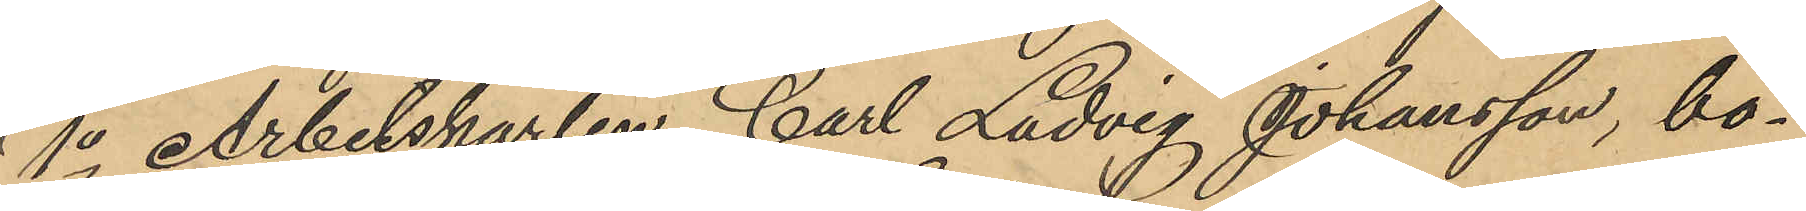1o Arbetskarlen Carl Ludvig Johansson, bo¬
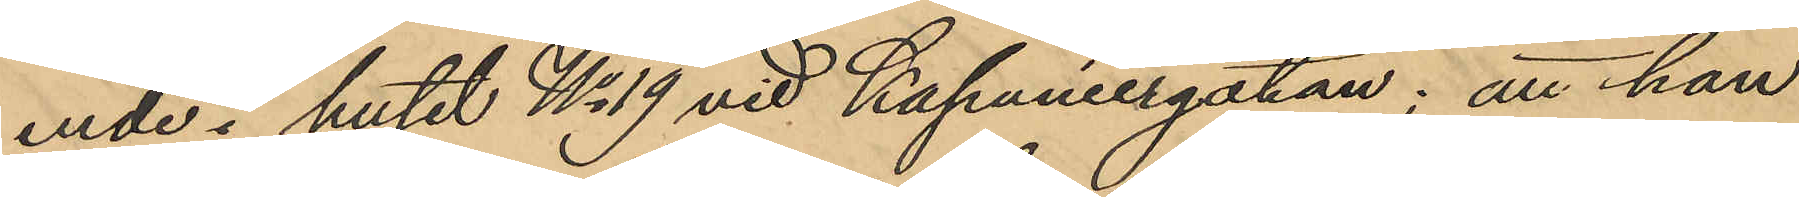ende i huset No 19 vid Kapaniergatan; att han
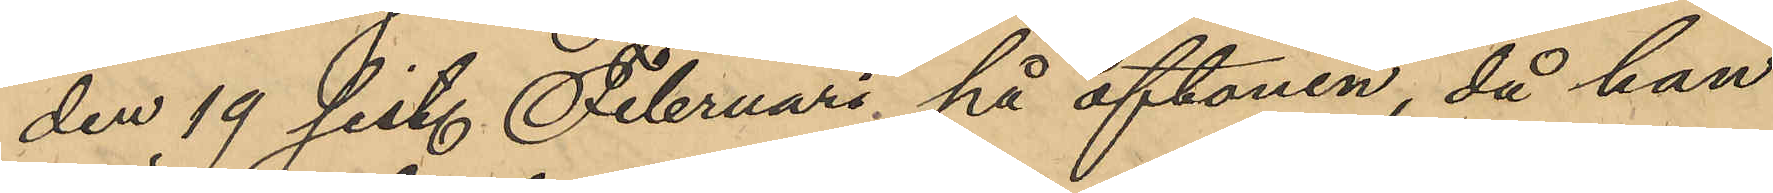den 19 sist. Februari på aftonen, då han
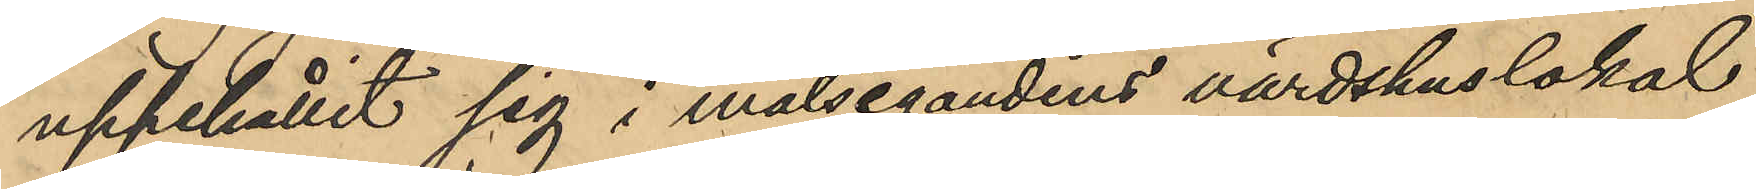uppehållit sig i målsegandens värdshuslokal
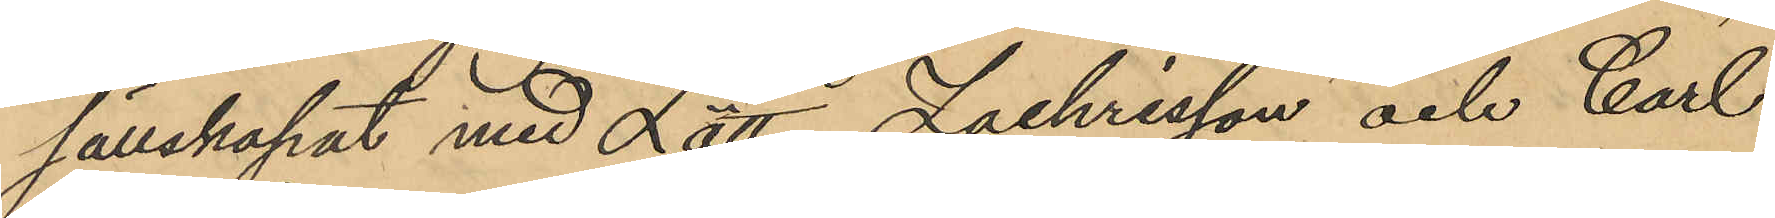sällskapat med Lätt, Zachrisson och Carl
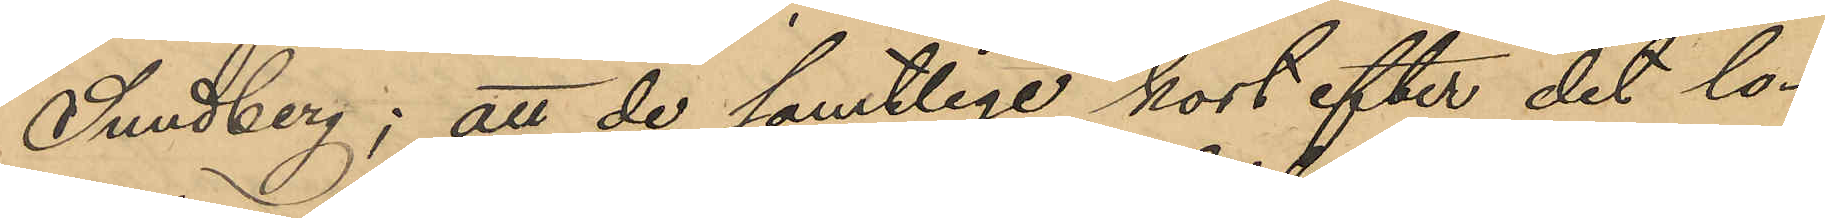Sundberg; att de samtlige kort efter det lo¬
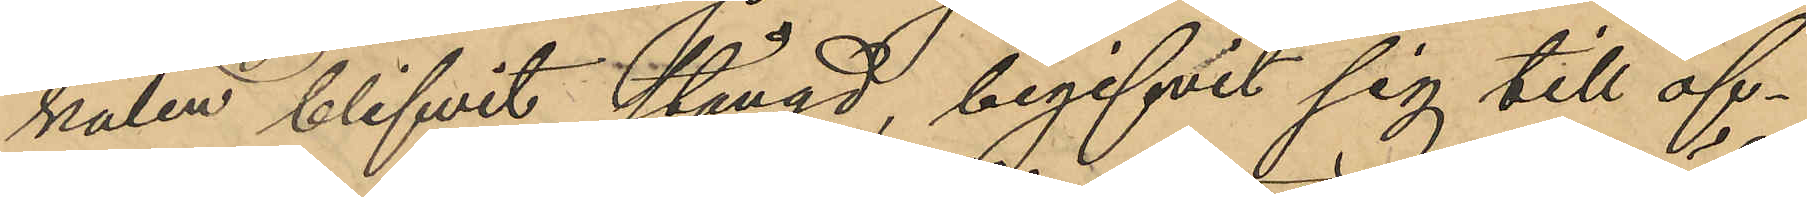kalen blifvit stängd, begifvit sig till of¬
